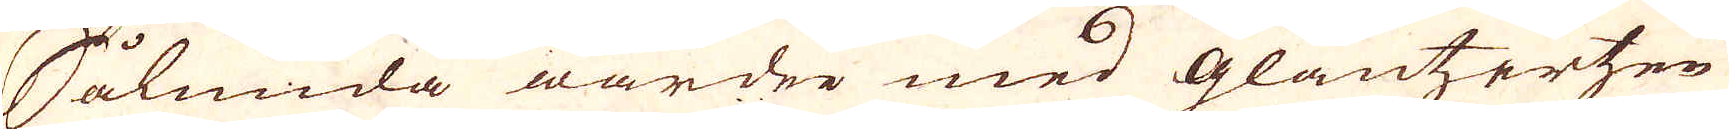Sålunda warder med Glantzertzen
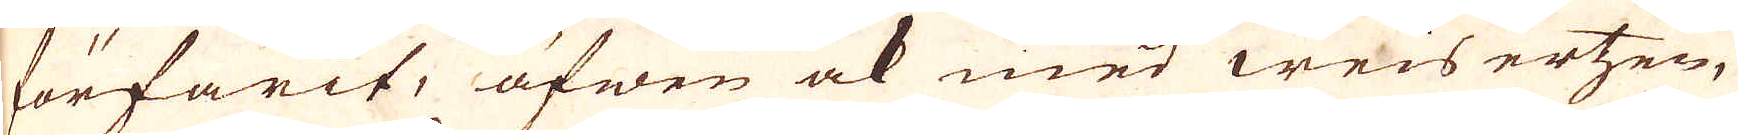förfarit, äfwen ock med weis ertzen,
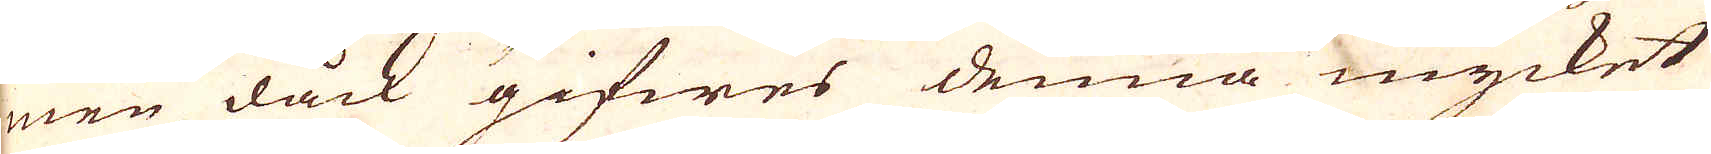men dåck gifwes denna mycket
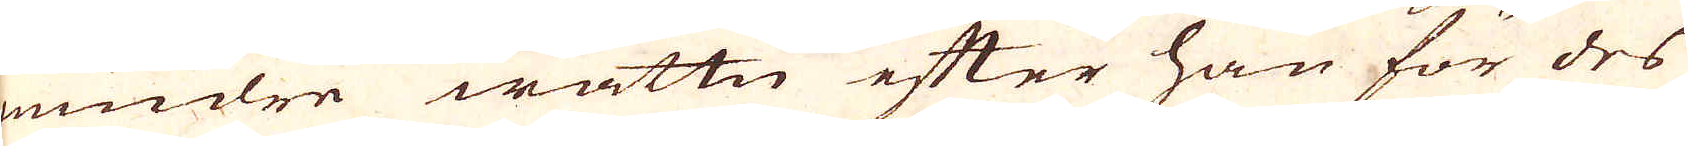mindre wattn efter han för des
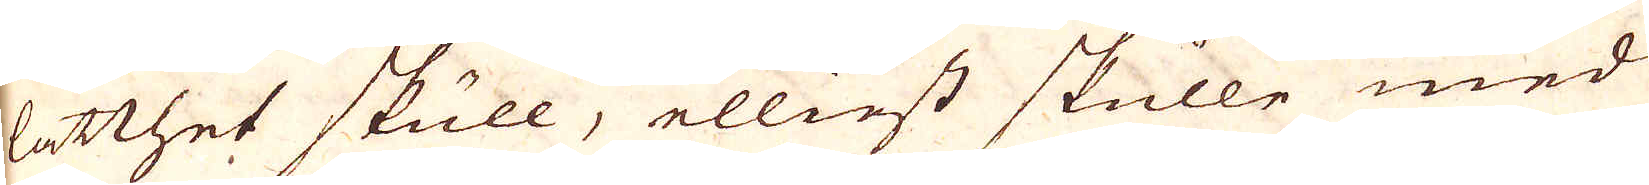lätthet skull, elliest skulle med
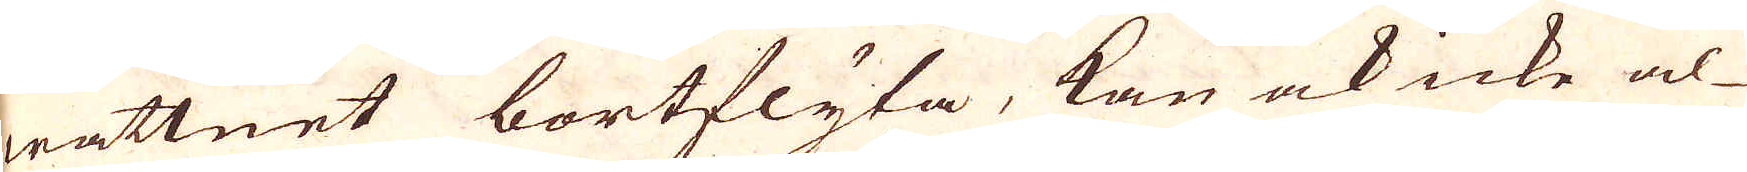wattnet bortflyta, kan ock icke al-
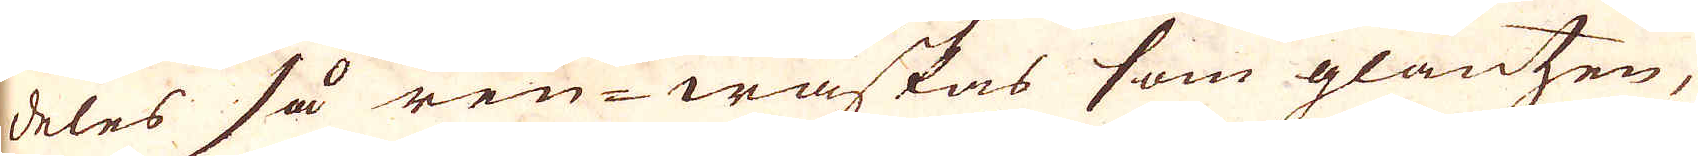deles så ren-waskas som glantzen,
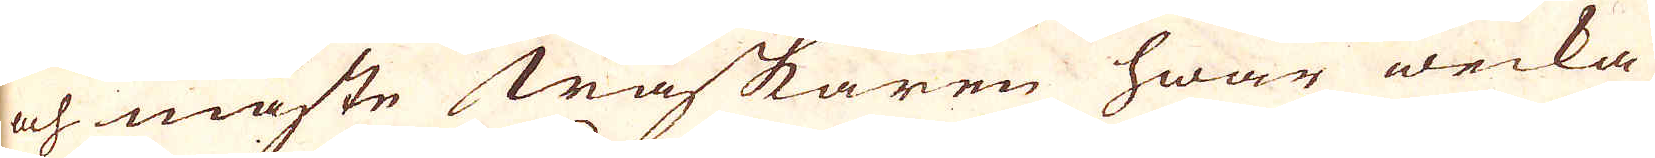och måste Waskaren hwar wecka
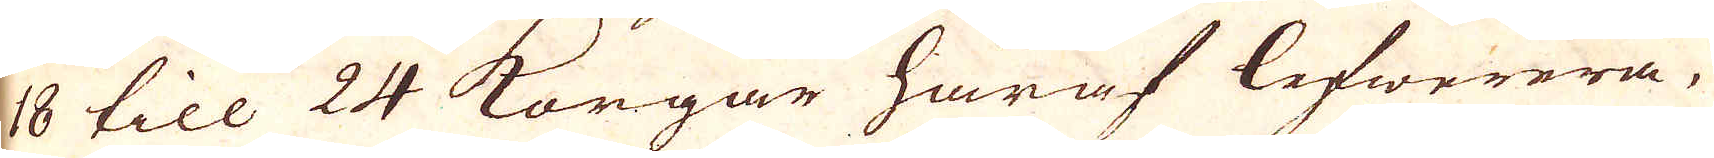18 till 24 Korgar häraf lefwerera,
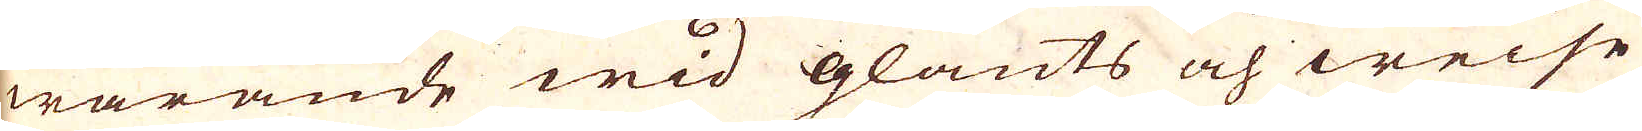warande wid glants och weise
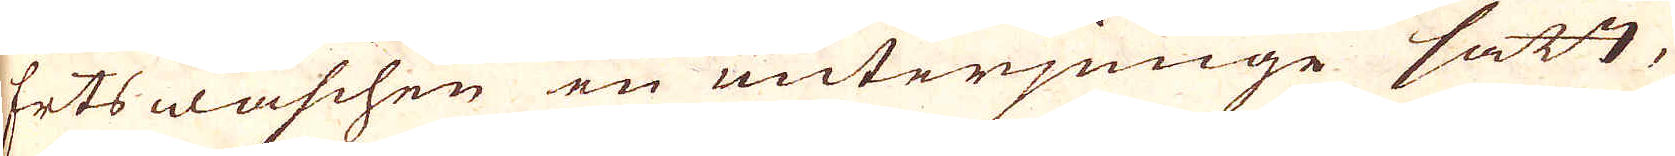Erts waschen en unterjunge satt,
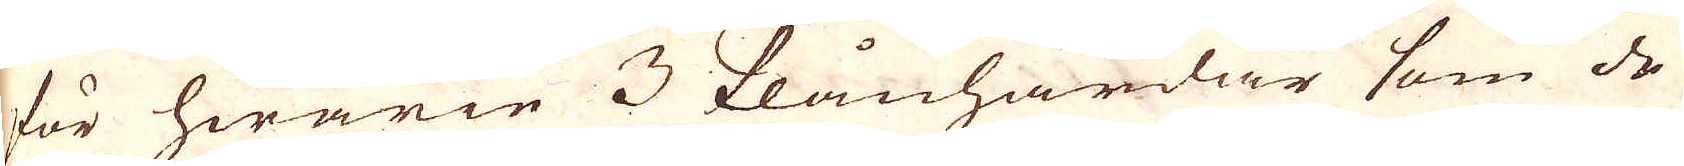för hwarie 3 Plånhärdar som de
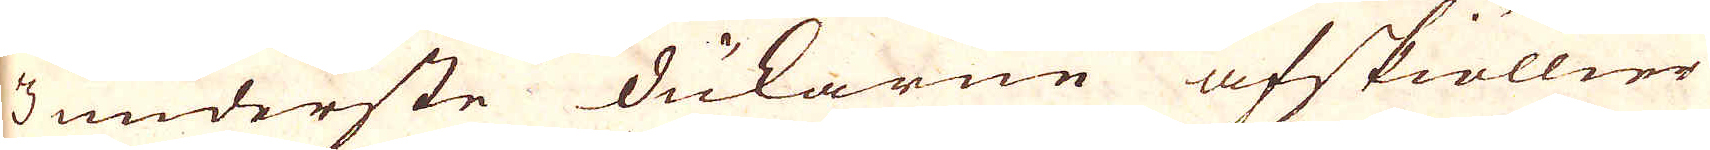3 underste dukarne afskiöllier
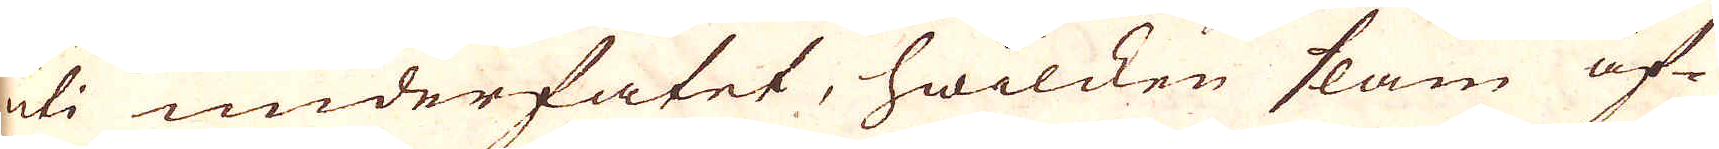uti underfatet, hwilcken slam äf-
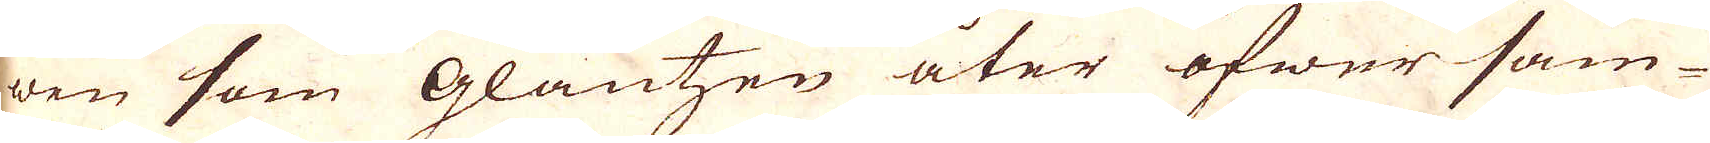wen som Glantzen åter öfwer sam-
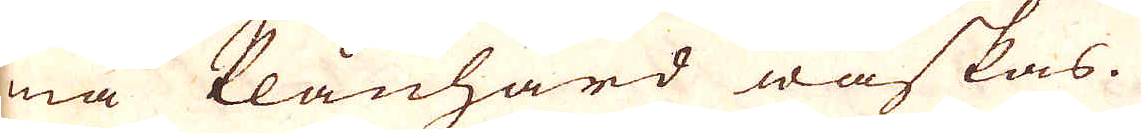ma Plånhärd waskas.
